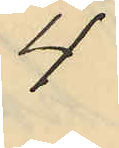4
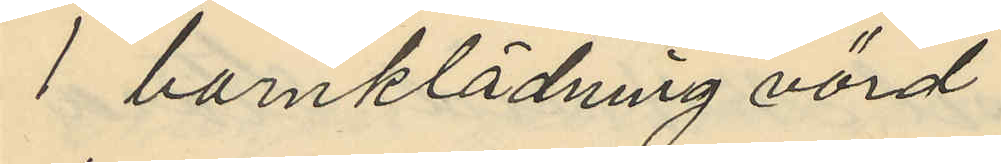1 barnklädning värd
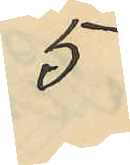5
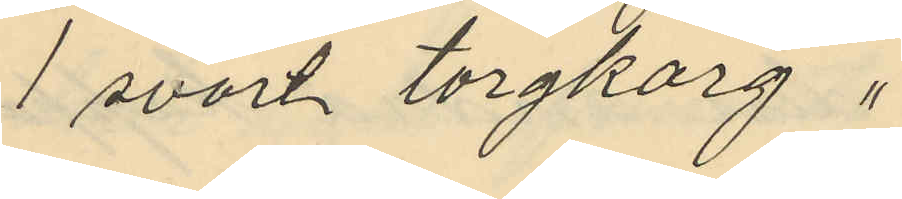1 svart torgkorg "
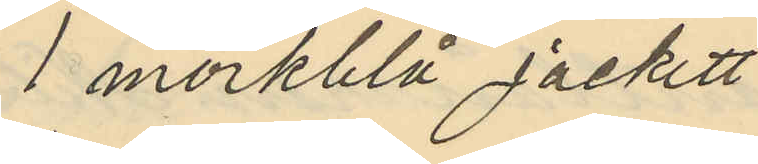1 mörkblå jackett
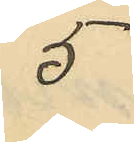5
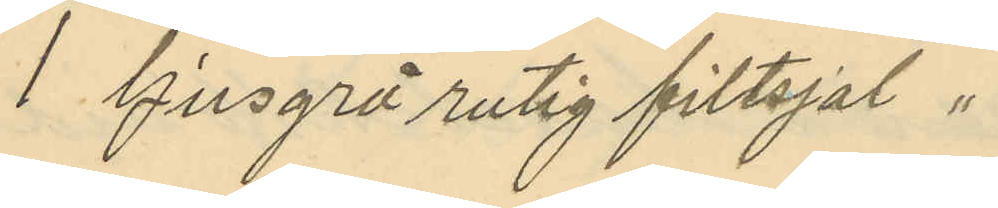1 ljusgrå rutig filtsjal "
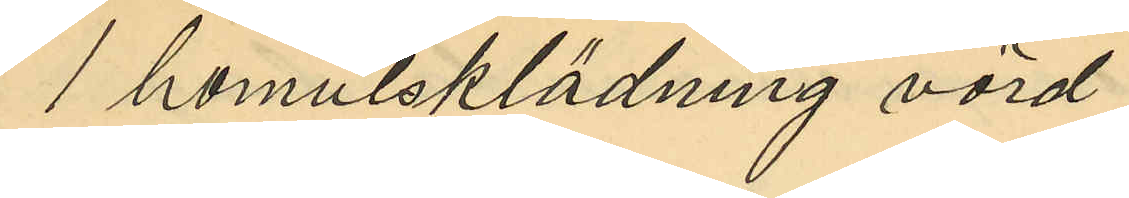1 bomulsklädning värd
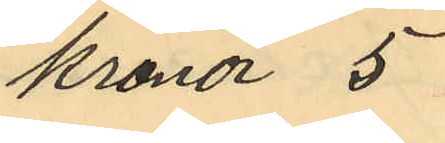kronor 5
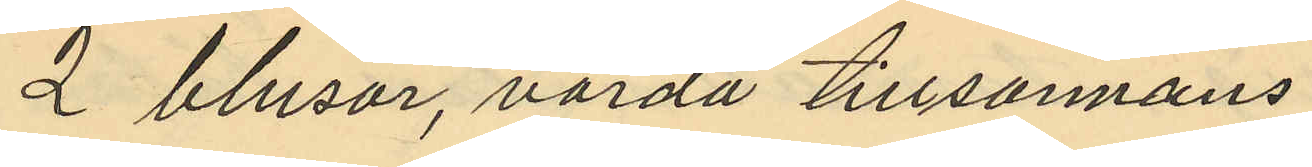2 blusar, värda tillsamans
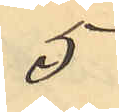5
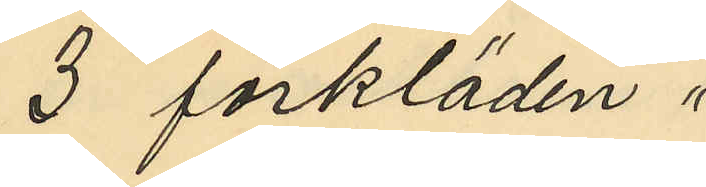3 förkläden "
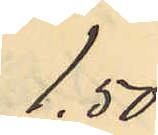1.50
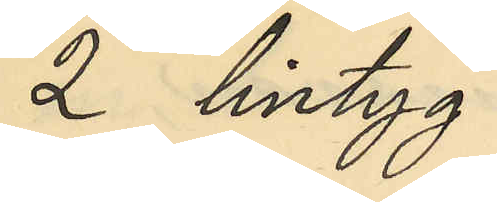2 lintyg
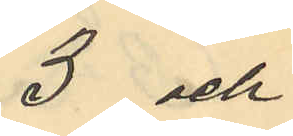3 och
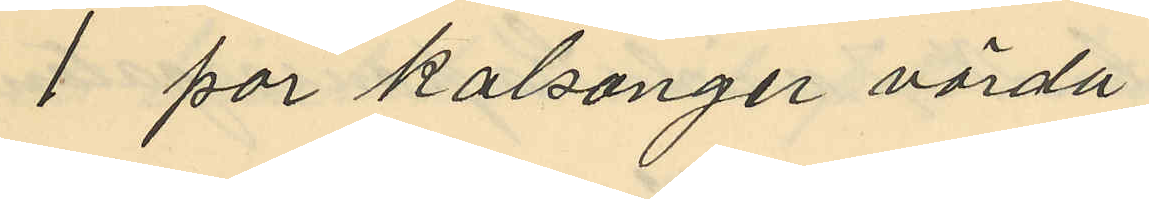1 par kalsonger värda
